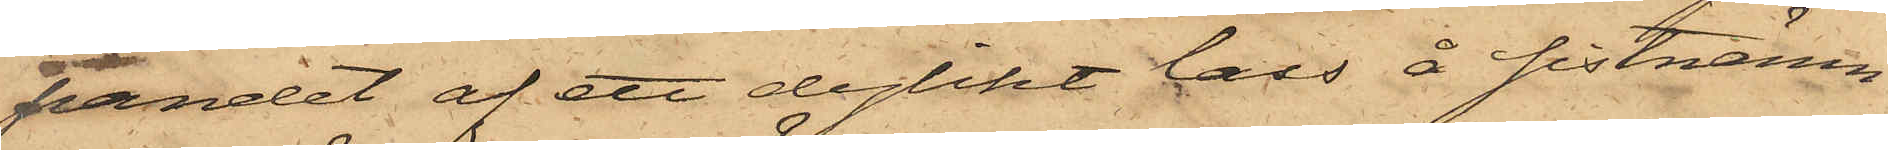pandet af ett dylikt lass å sistnämn¬
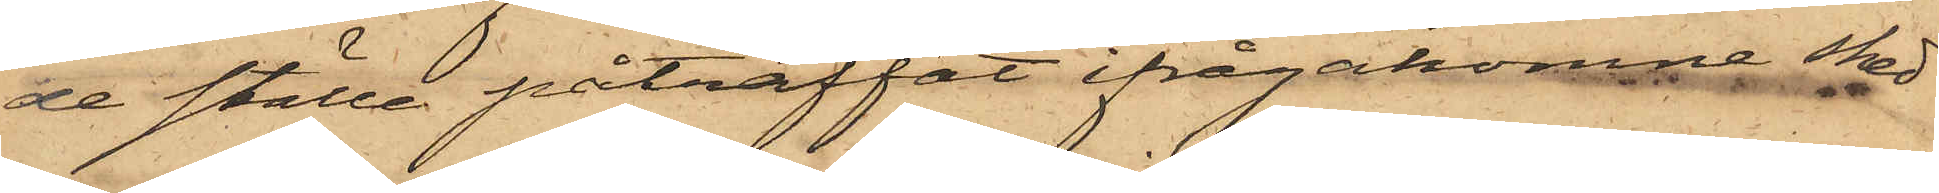de ställe påträffat ifrågakomne sked
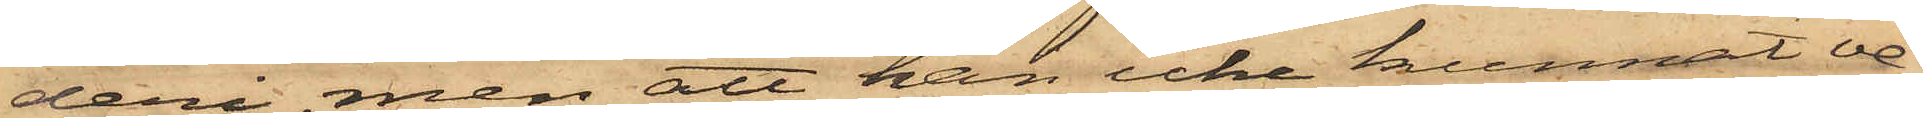deri, men att han icke kunnat ve¬
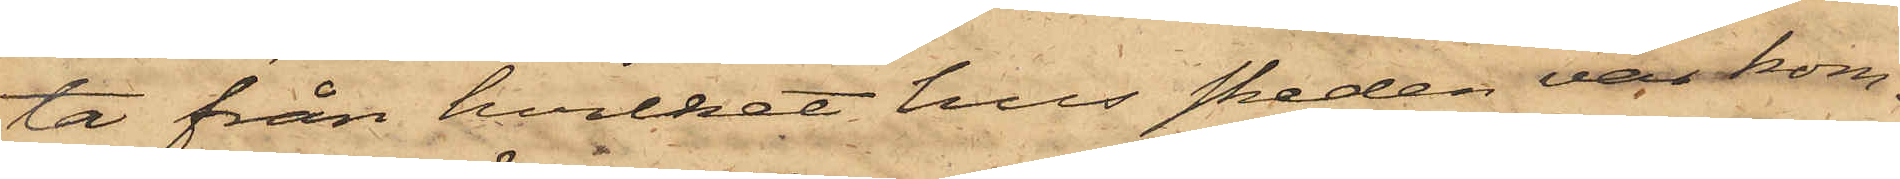ta från hvilket hus skeden var kom¬
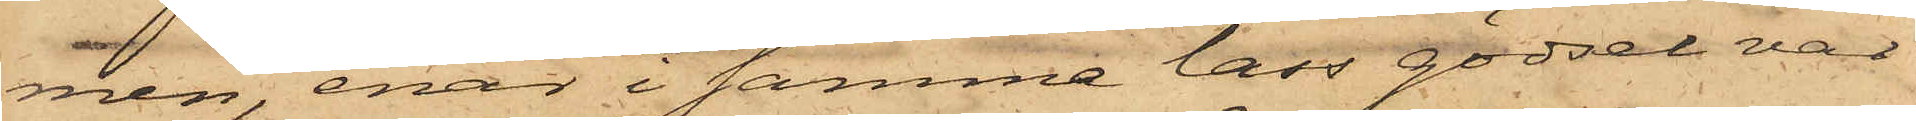men, enär i samma lass gödsel var
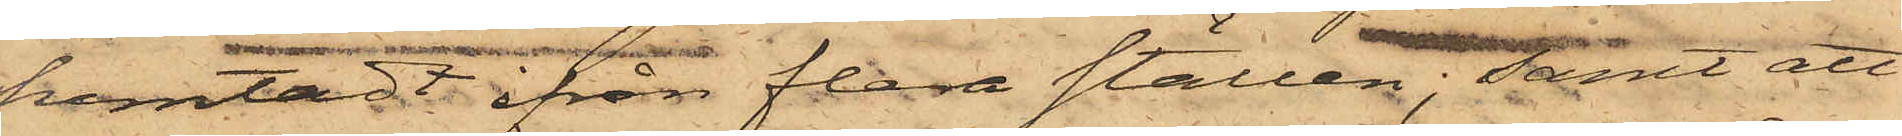hemtadt ifrån flera ställen; samt att
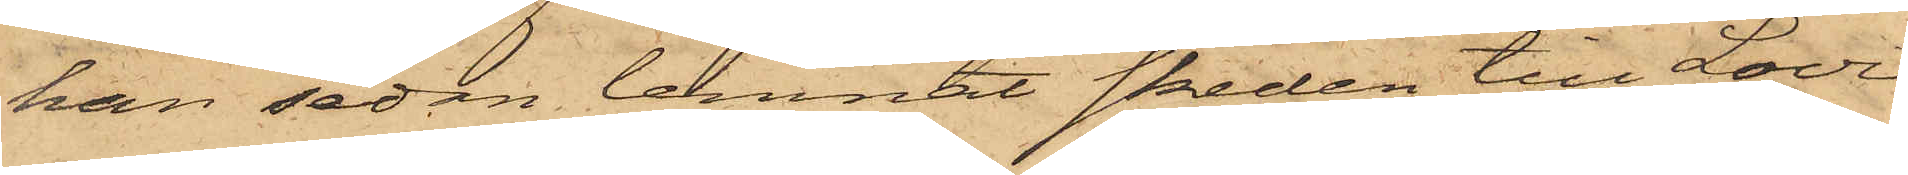han sedan lemnat skeden till Lovi¬
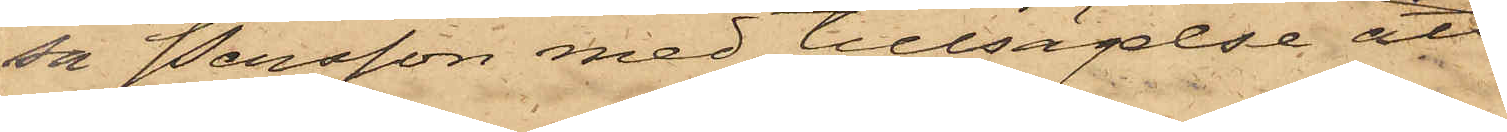sa Persson med tillsägelse att
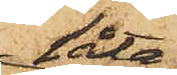låta
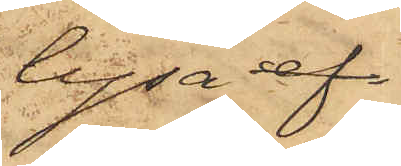lysa ef
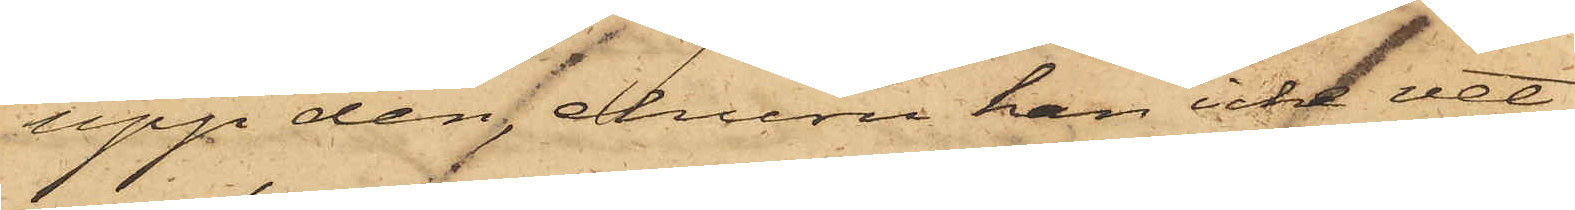upp den, ehuru han icke vet
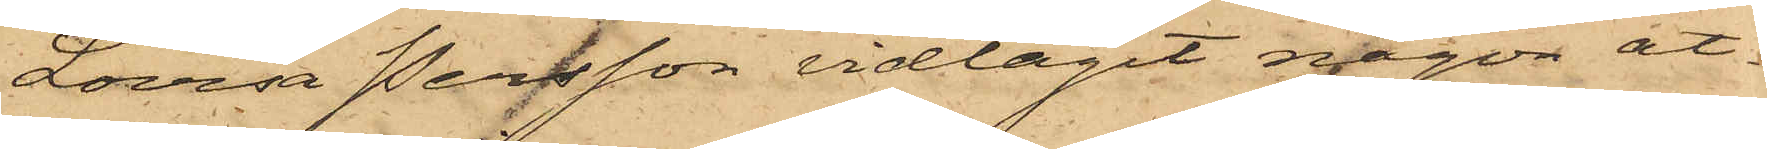om Lovisa Persson vidtagit någon åt¬
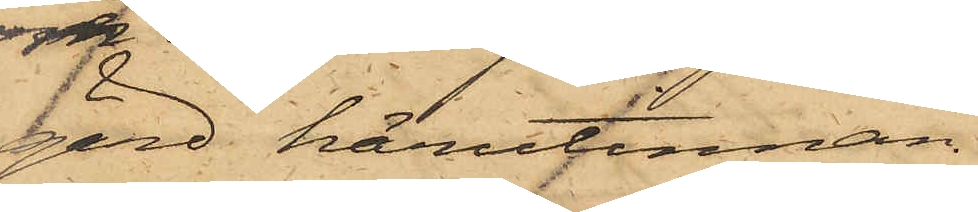gärd härutinnan.
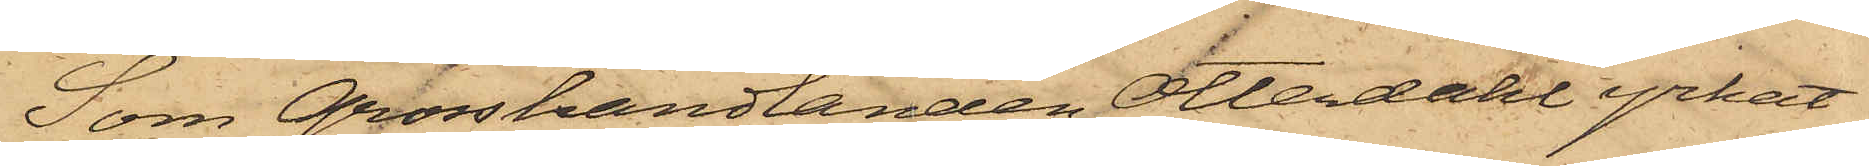Som Grosshandlanden Otterdahl yrkat
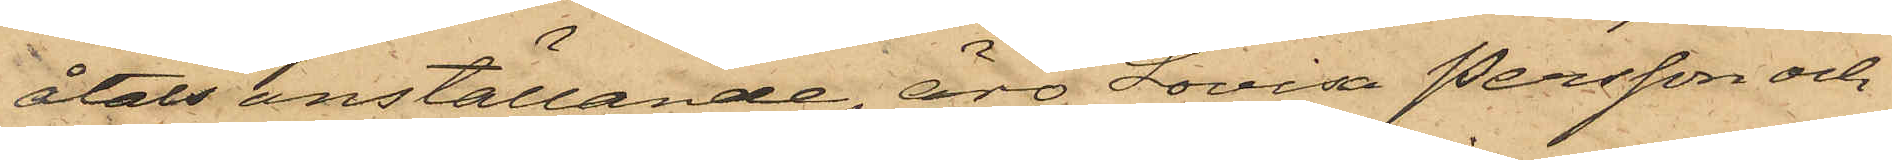åtals anställande, äro Lovisa Persson och
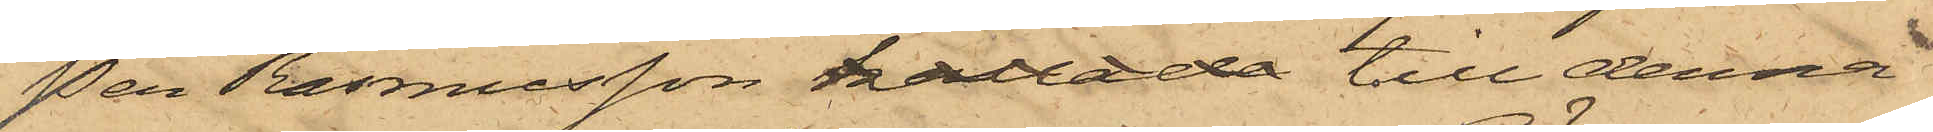Per Rasmusson kallade till denna
